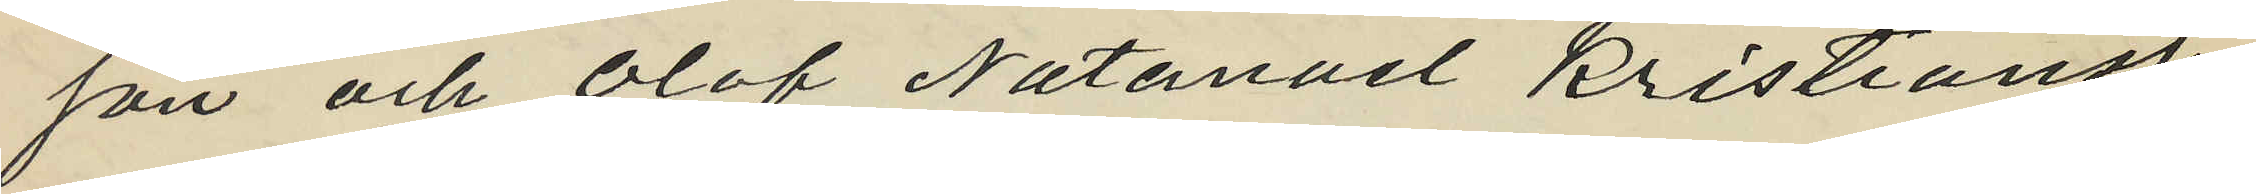son och Olof Natanael Kristiansson
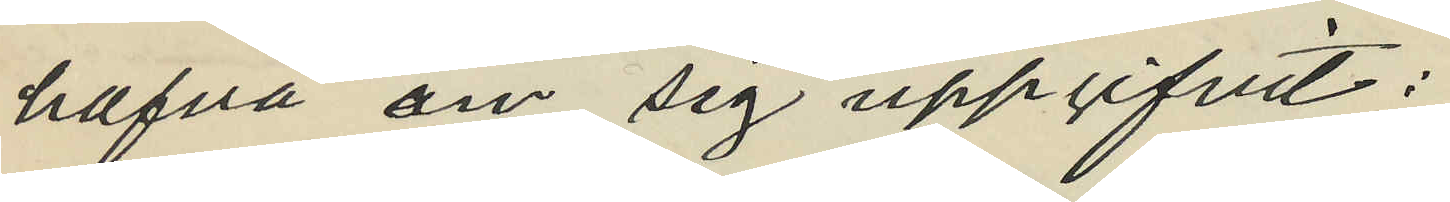hafva om sig uppgifvit:
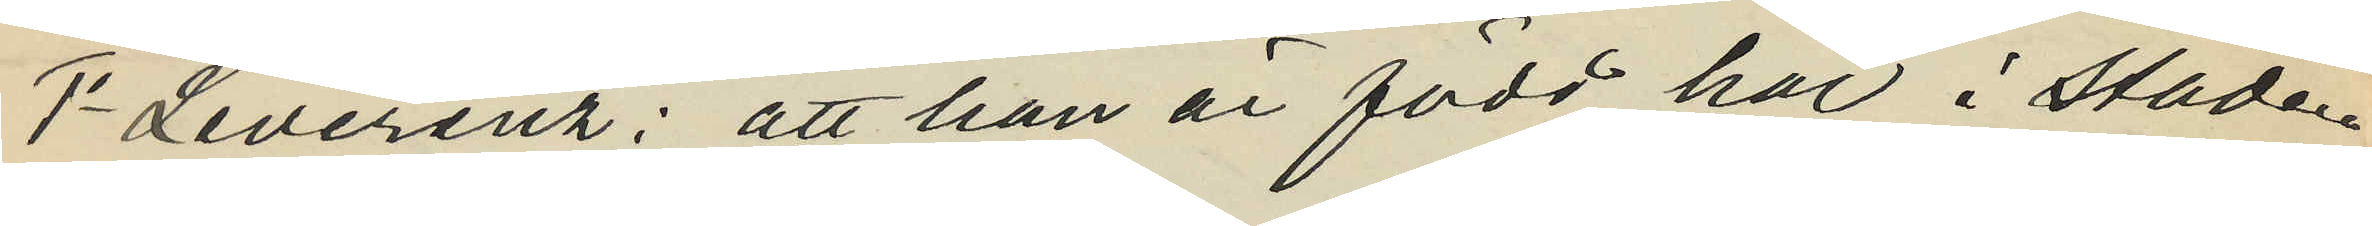1o Leverenz: att han är född här i staden
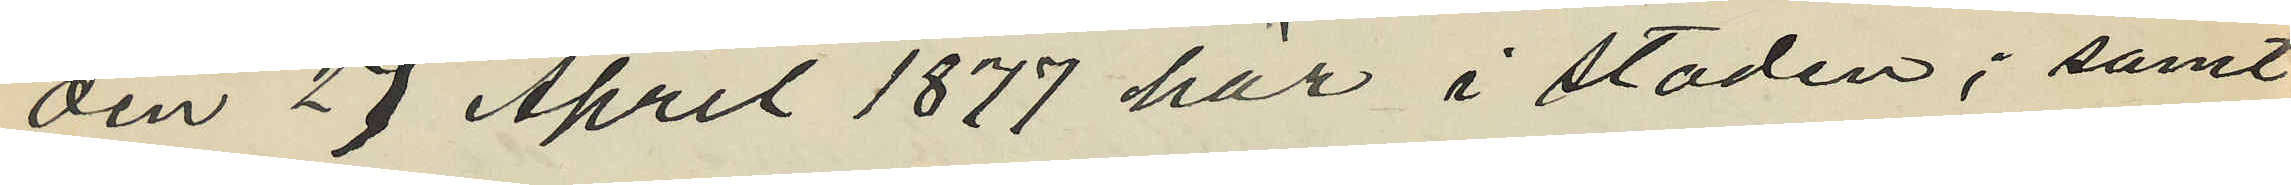den 29 April 1877 här i staden; samt
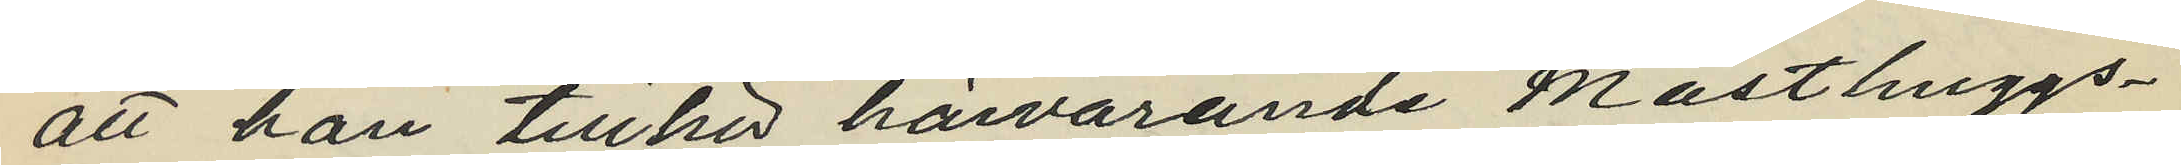att han tillhör härvarande Masthuggs¬
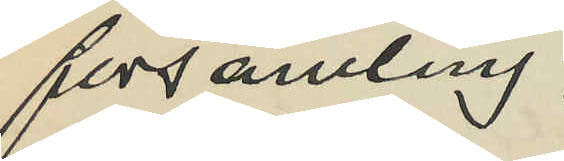församling;
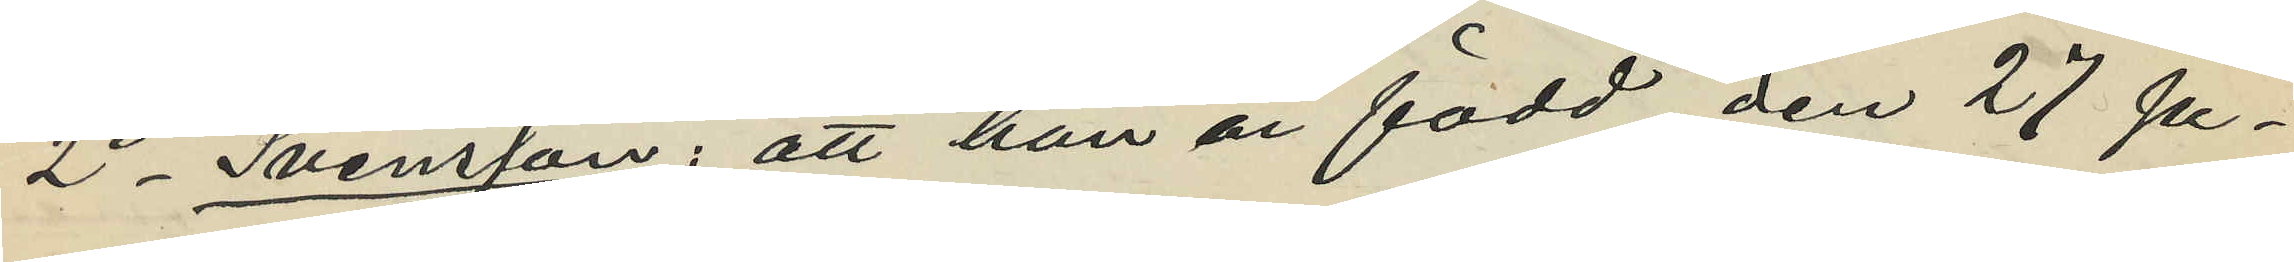2o Svensson: att han är född den 27 Ju¬
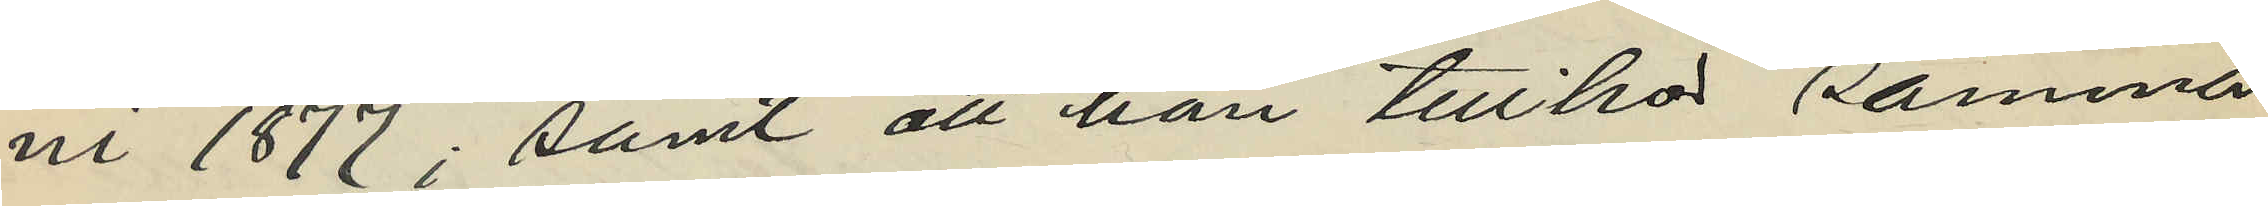ni 1877; samt att han tillhör samma
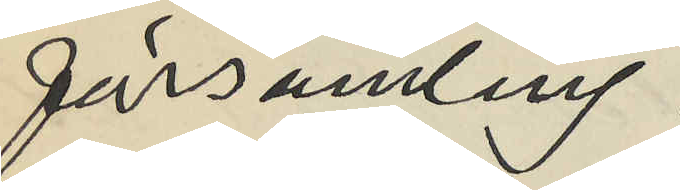församling;
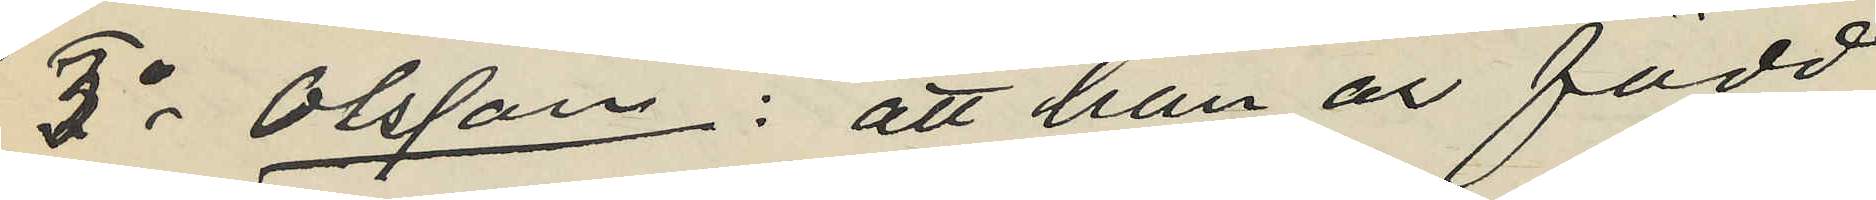3o Olsson: att han är född
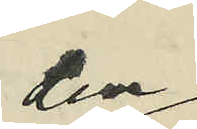den
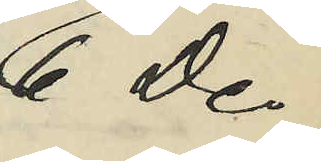6 De¬
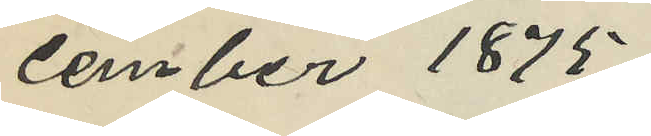cember 1875
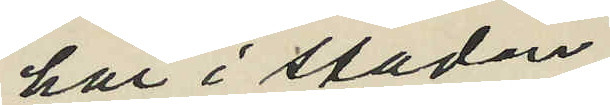här i staden
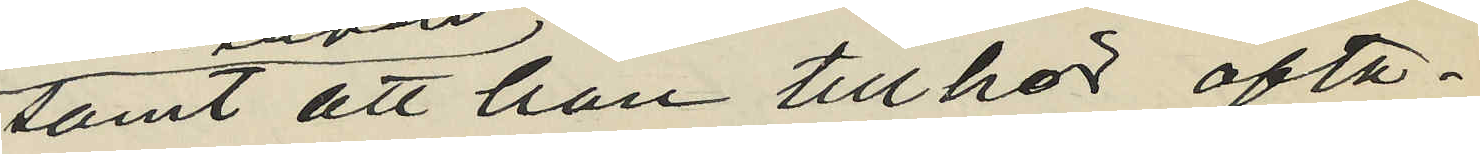samt att han tillhör ofta¬
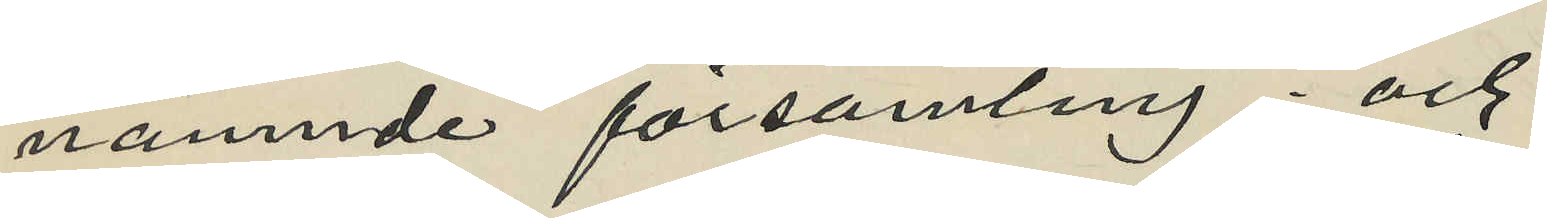nämnde församling; och
